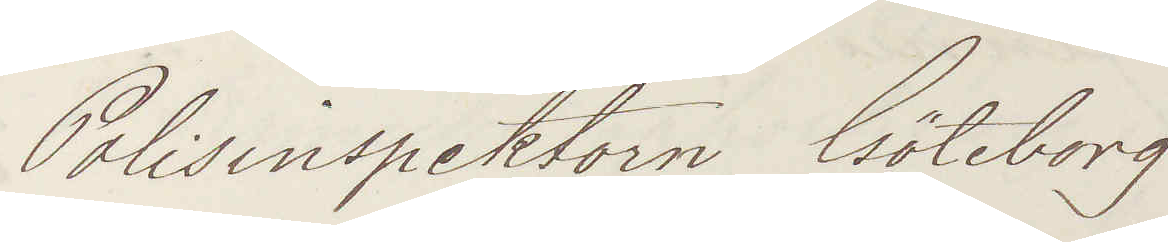Polisinspektorn Göteborg
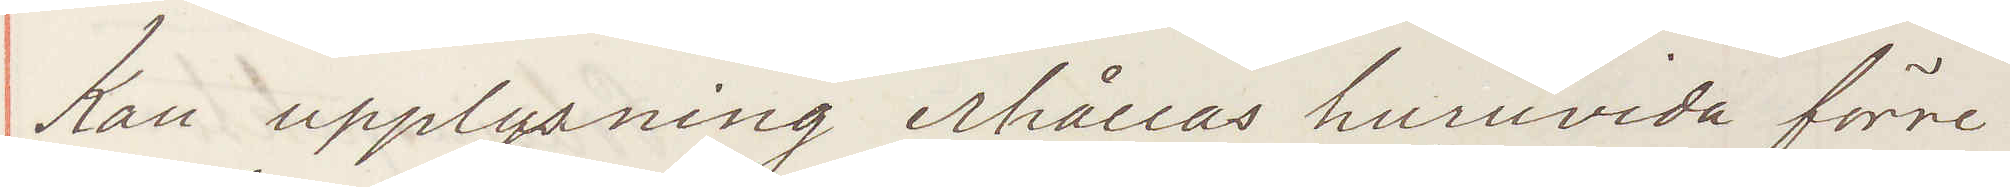Kan upplysning erhållas huruvida förre
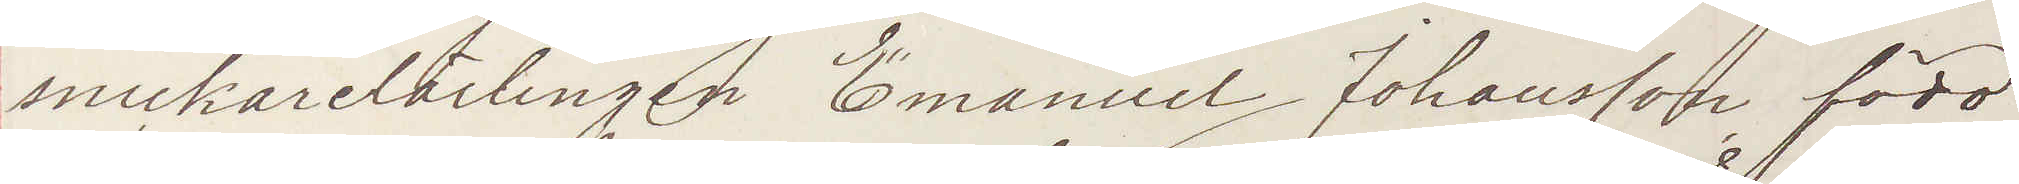snickarelärlingen Emanuel Johansson född
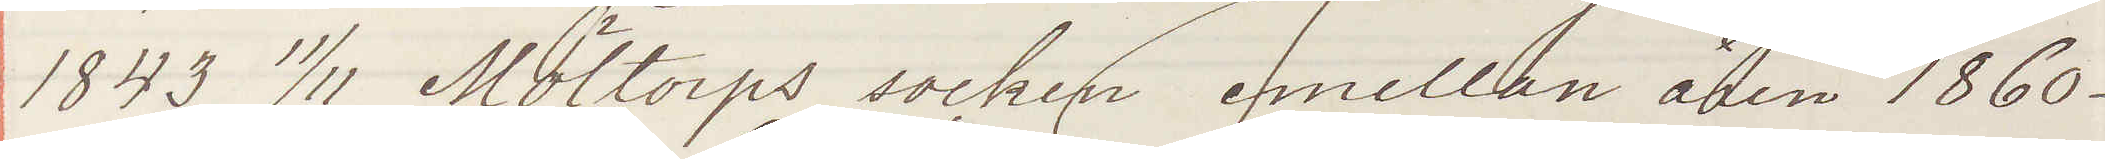1843 11/11 Moltorps socken emellan åren 1860 -
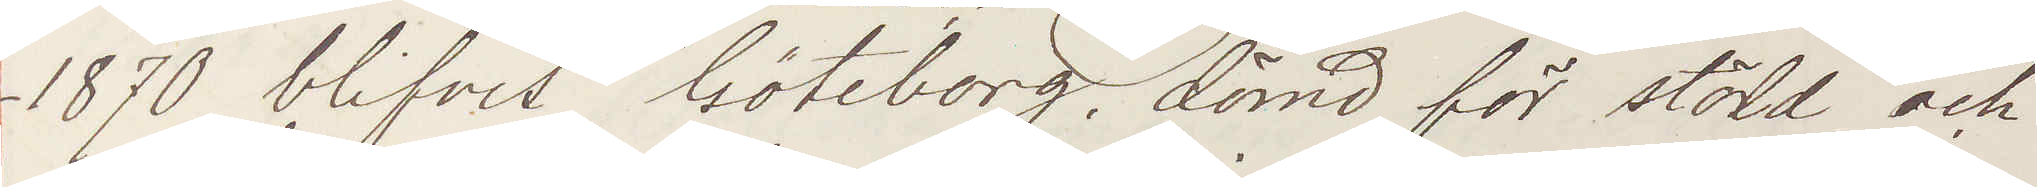1870 blifvit Göteborg dömd för stöld och
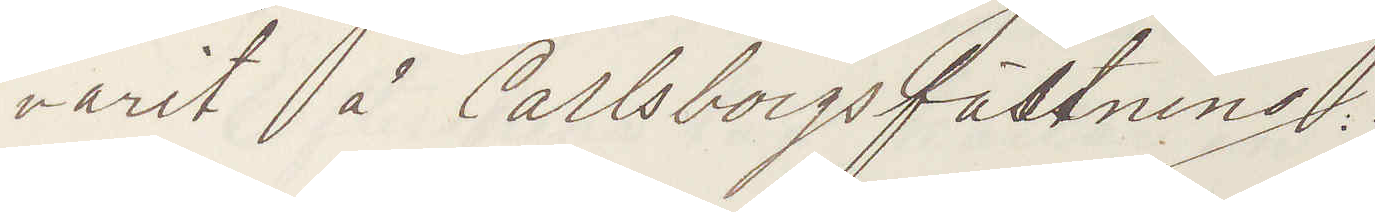varit på Carlsborgs fästning.
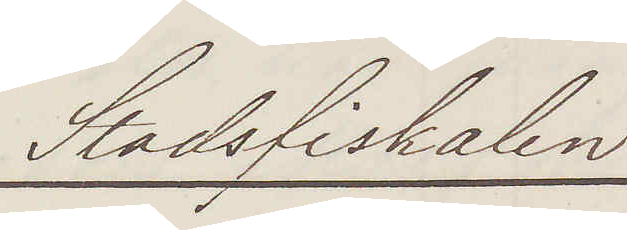Stadsfiskalen
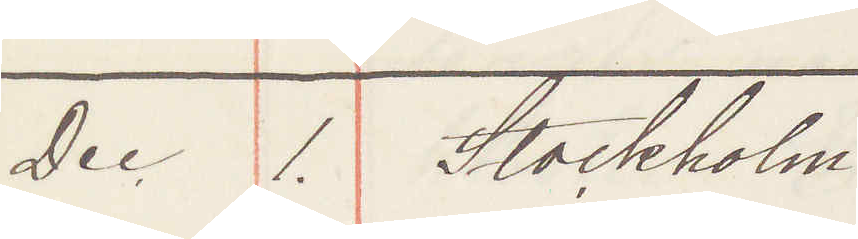Dec 1. Stockholm
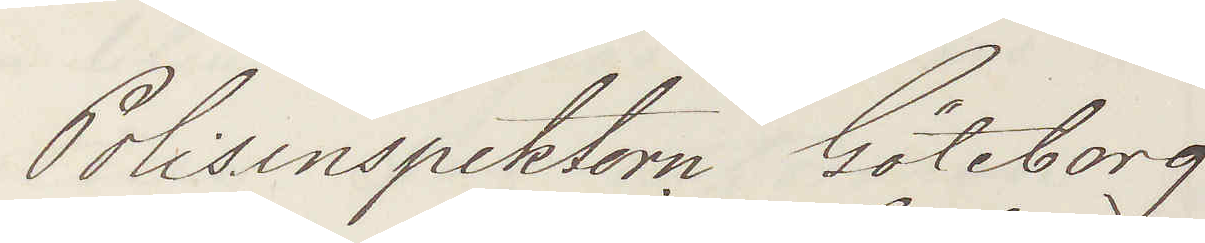Polisinspektorn Göteborg
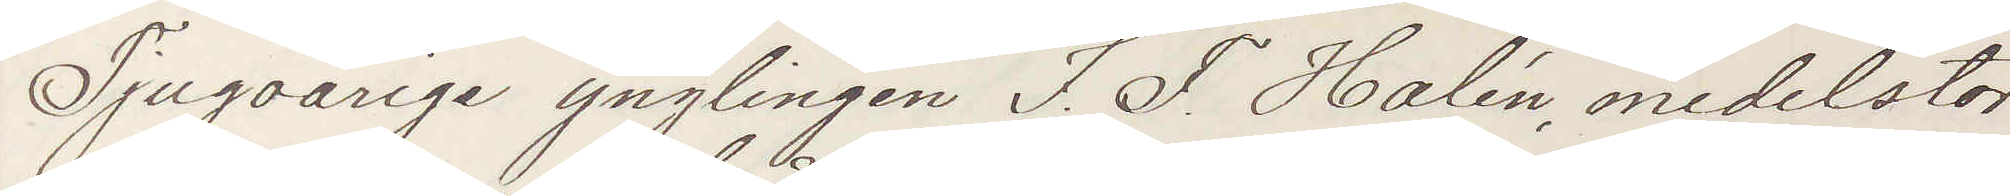Tjugoårige ynglingen I. F. Halén,, medelstor
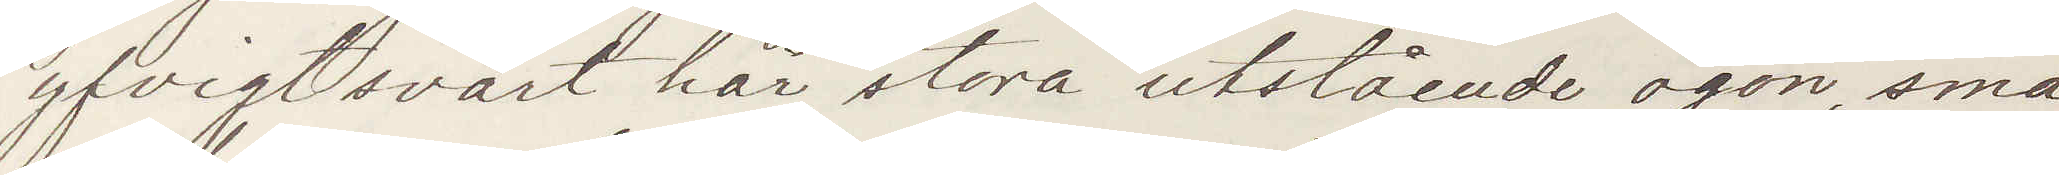yfvigt svart hår, stora utstående ögon, små
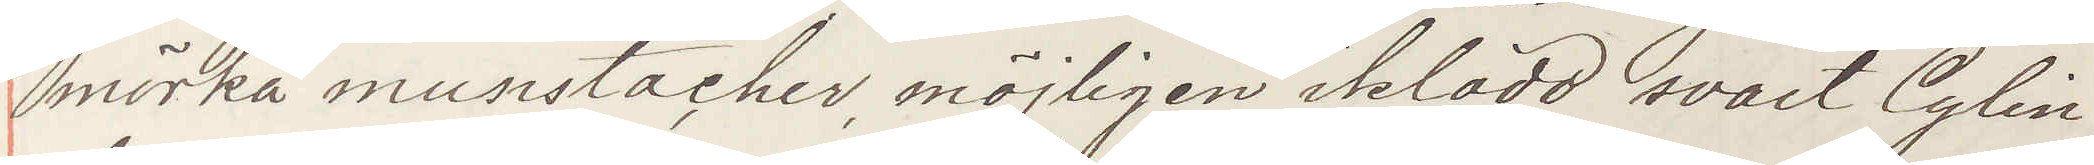mörka munstacher, möjligen iklädd svart Cylin¬
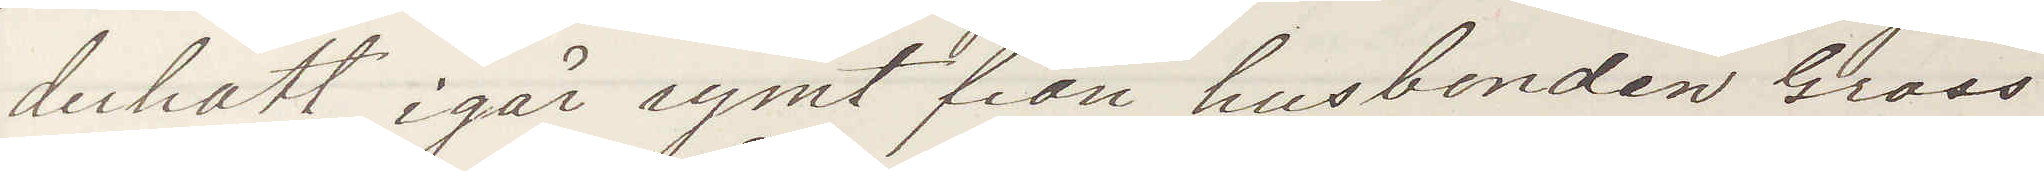derhatt, igår rymt från husbonden, Gross¬
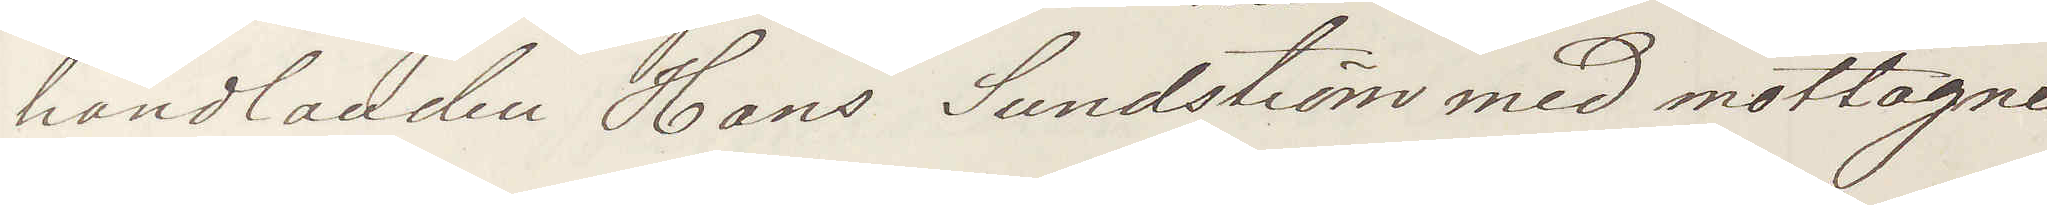handlanden Hans Sundström med mottagne
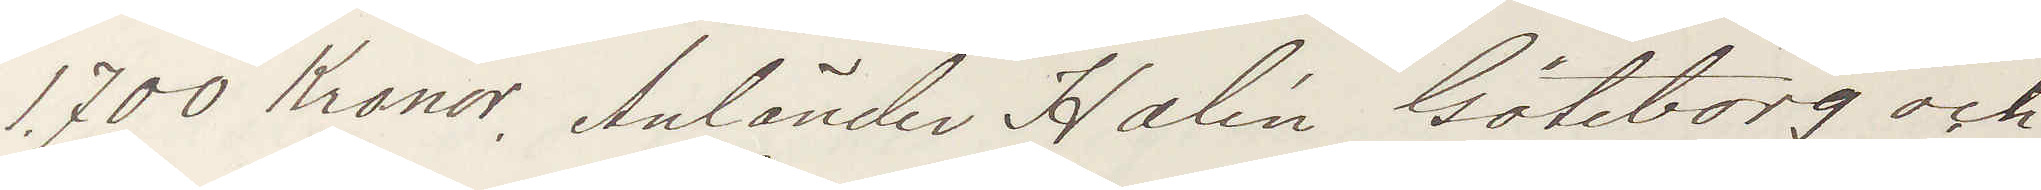1.700 Kronor. Anländer Halén Göteborg och
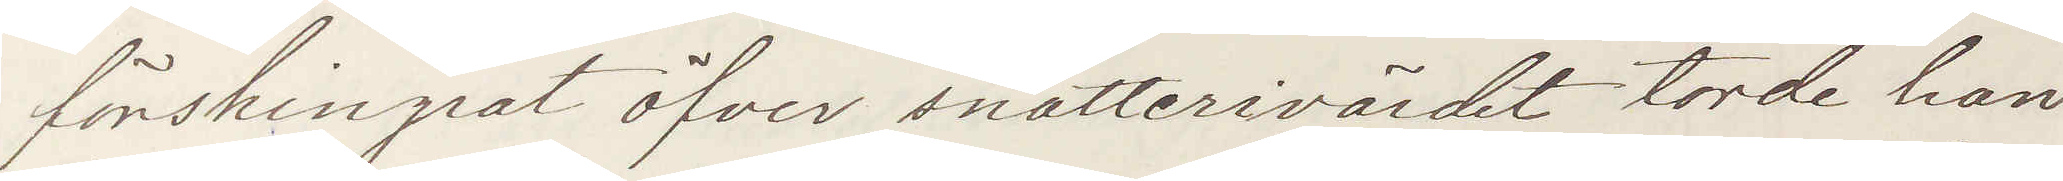förskingradt öfver snatterivärdet torde han
